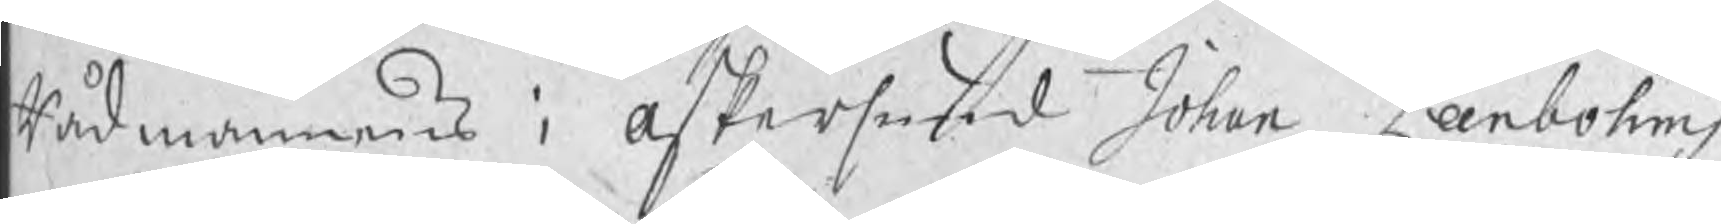Rådmannens i Askersund Johan Lanbohms
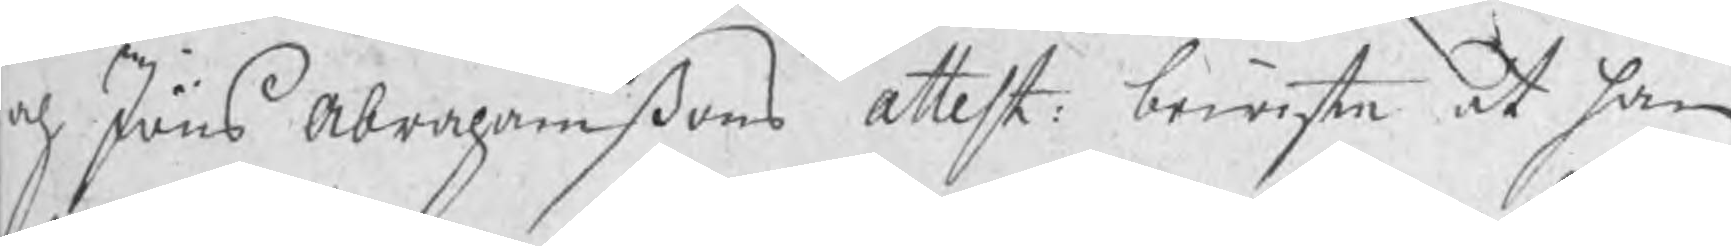och Jöns Abrahamßons Attest bewiste at han
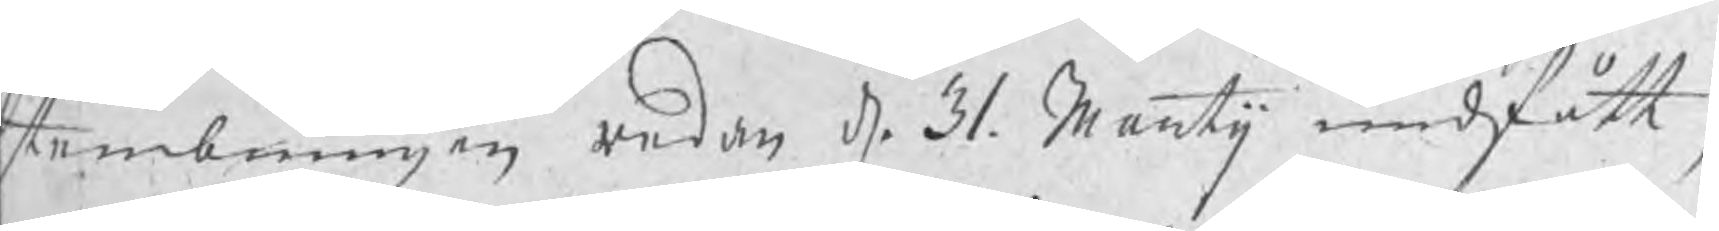stembningen redan d. 31. Martij undfått,
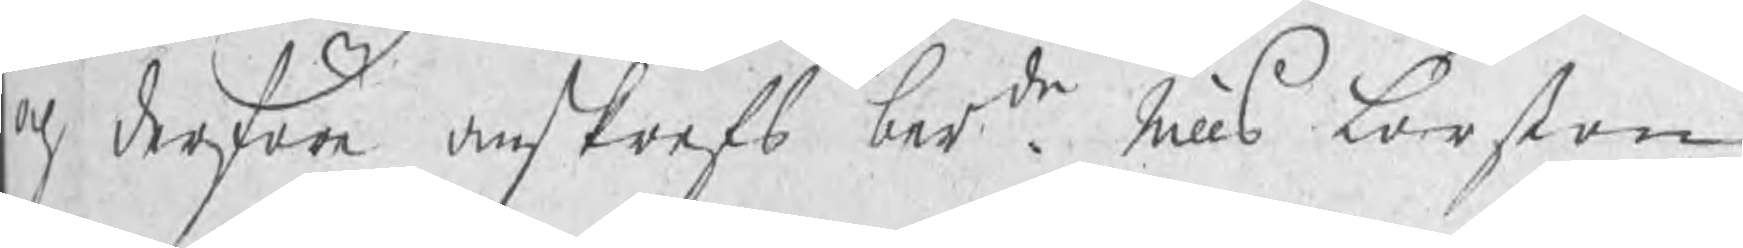och derföre anskrefs berde Nills Larßon
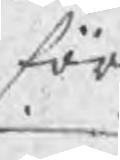för
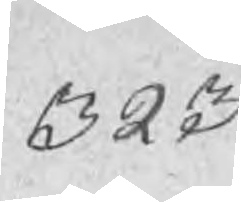323
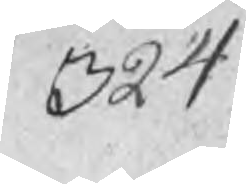324
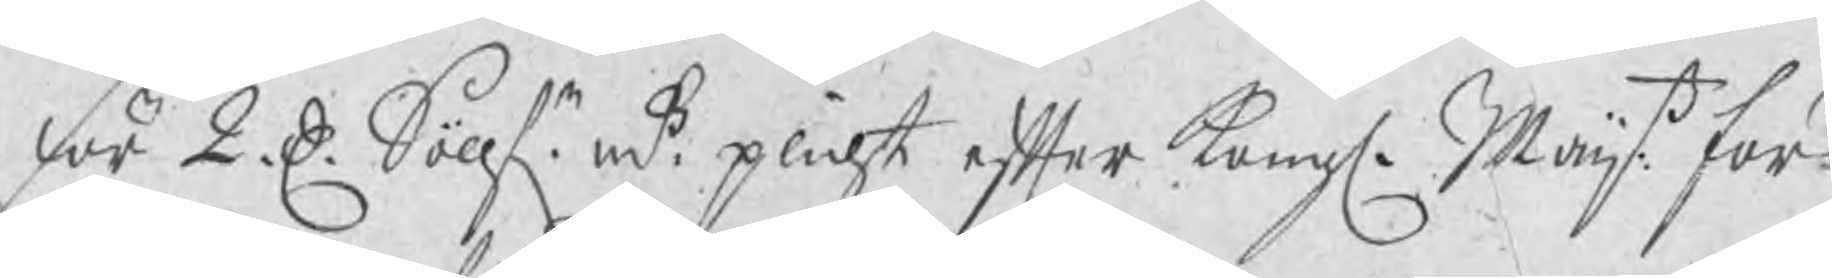för 2 D: Söllfr.  mt plicht efter Kongl. Maijts för¬
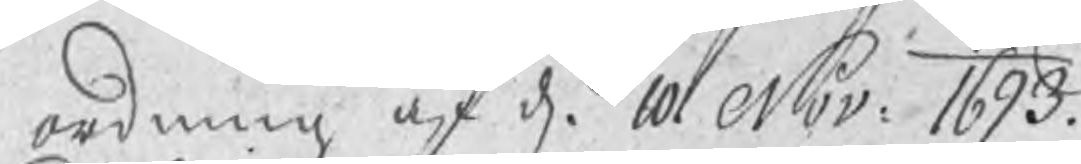ordning af d. 10 Nov: 1693.
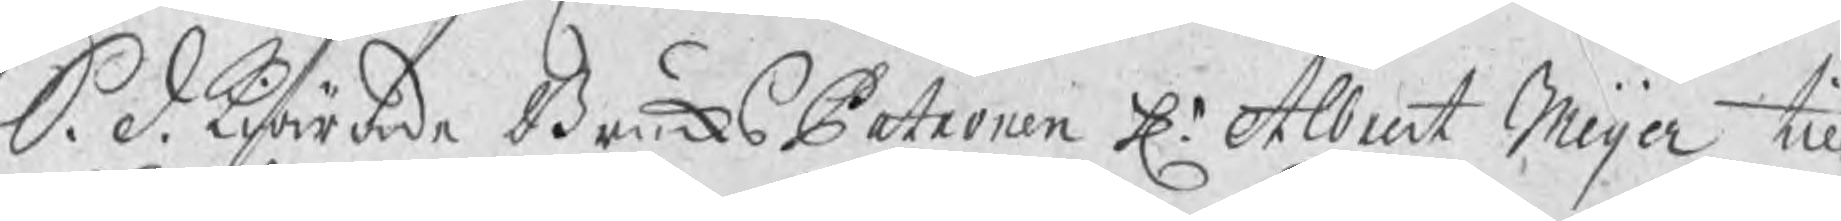S. d. Kiärade BruksPatron Hr Albrect Meijer till
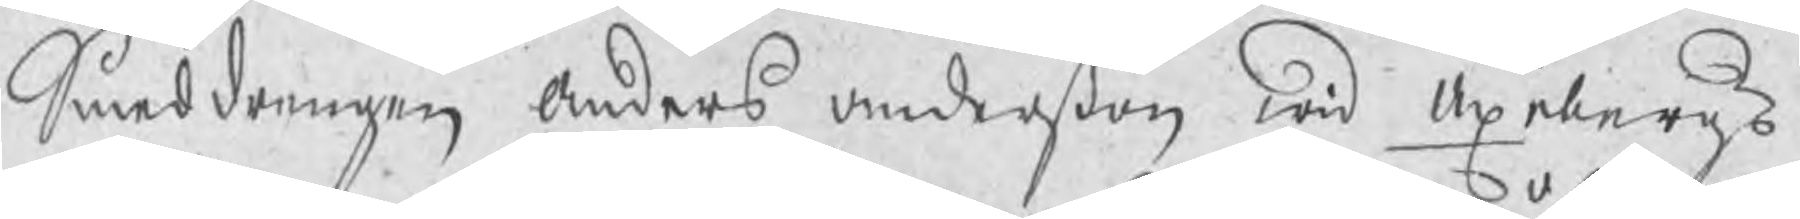Smeddrengen Anders Andersßon wid Axebergs¬
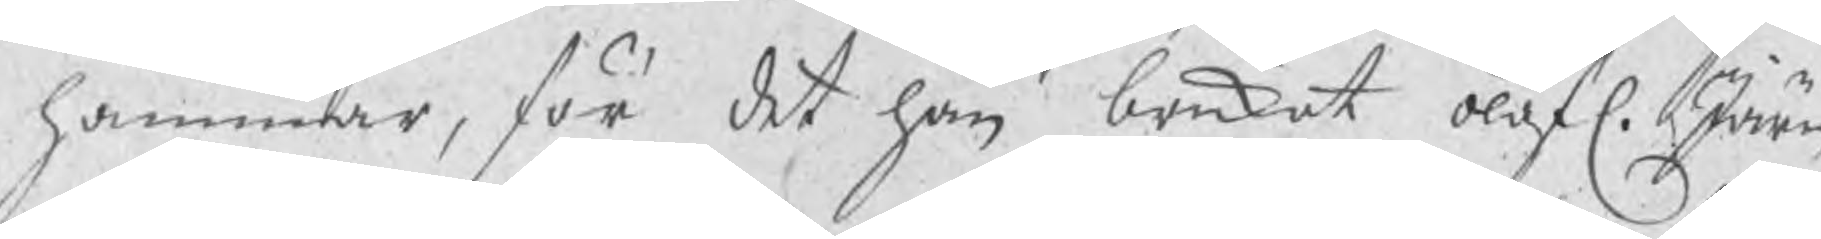hammar, för det han brukat olofl. Järn¬
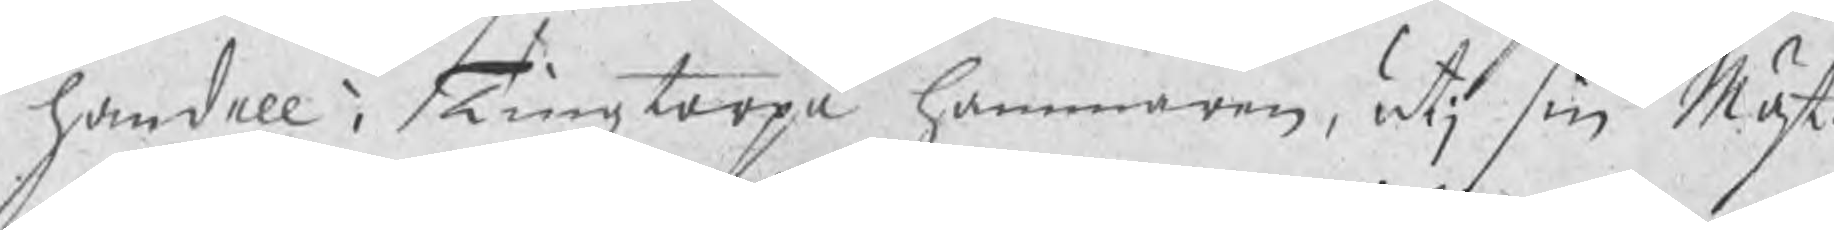handell i Tingztorpa hammaren, utj sin Mäst.s
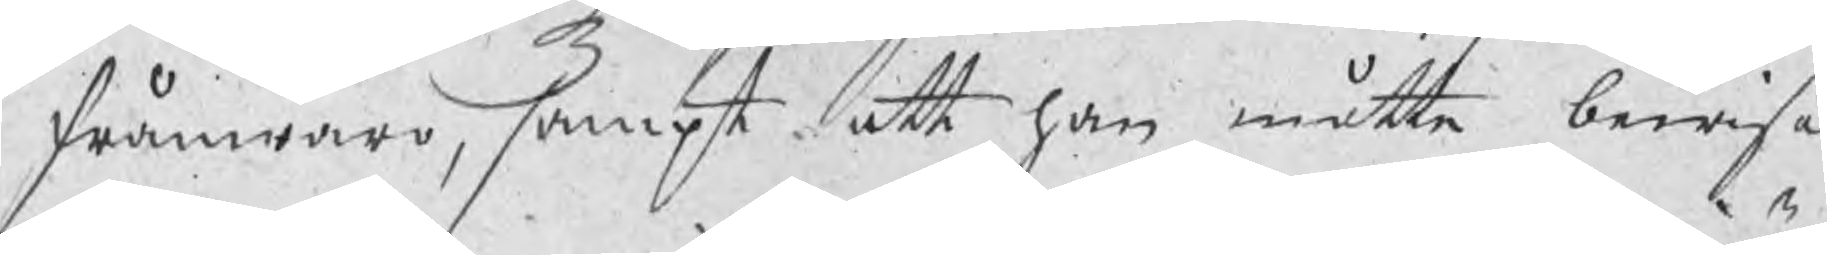frånwaro, sampt att han måtte bewisa
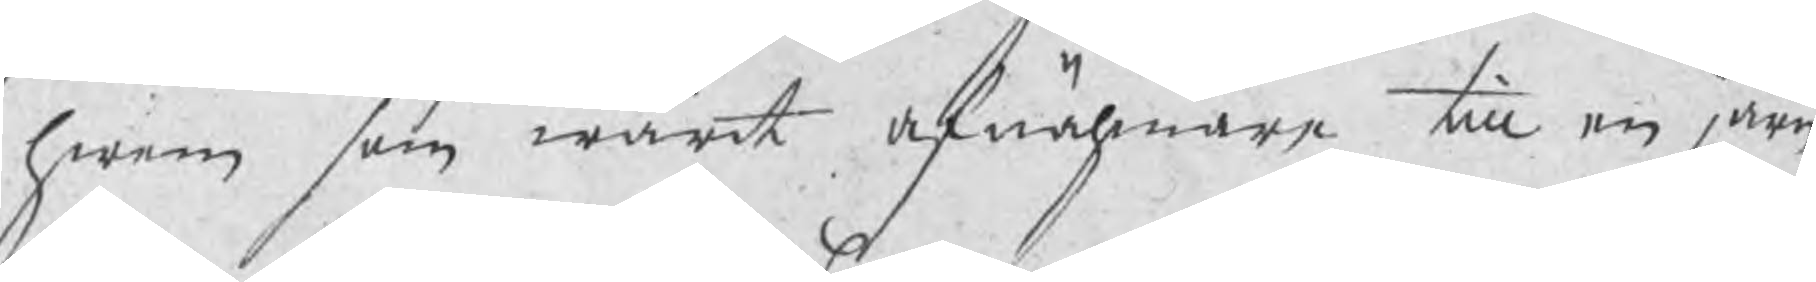hwem som warit afnähmare till en järn¬
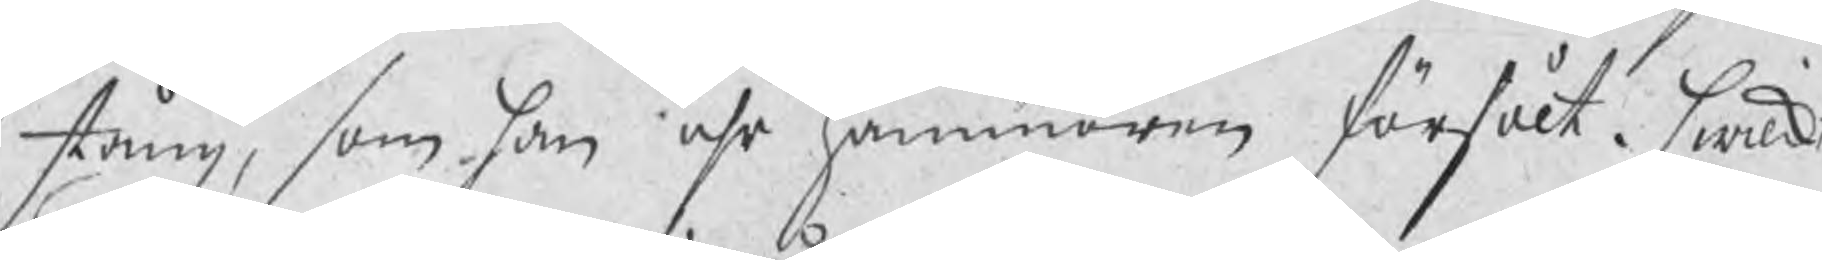stång, som han uhr hammaren försålt. hwilket
